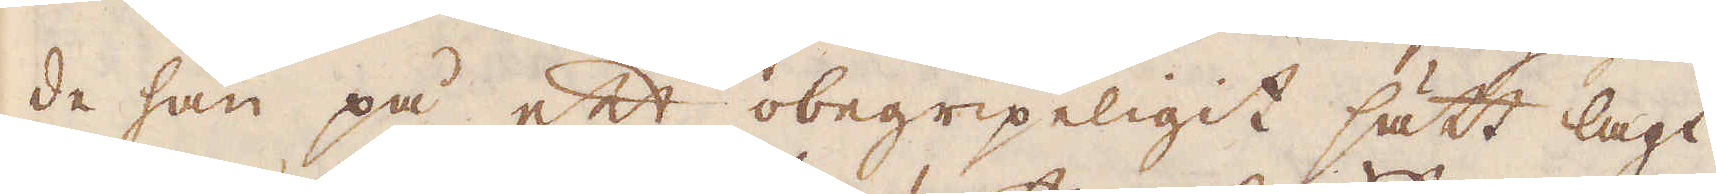de han på ett obegripeligit sätt lagt
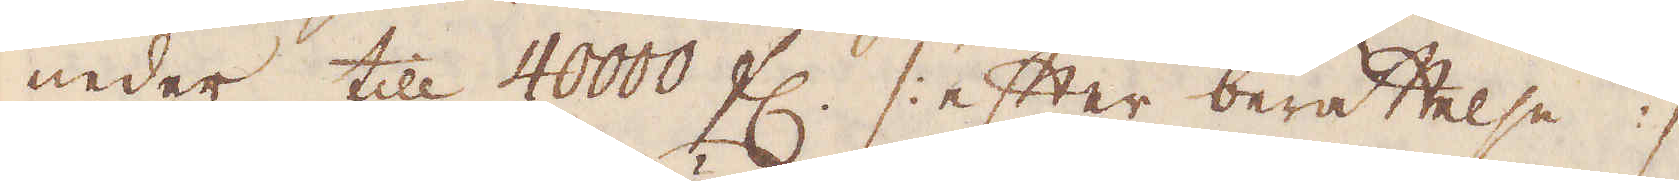neder till 40000 fl. /: efter berättelse :/
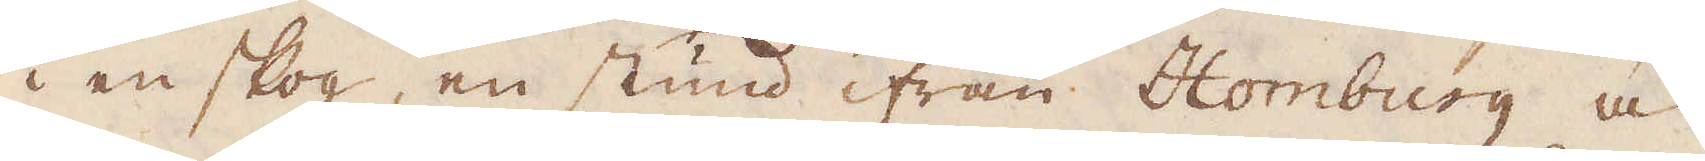i en skog, en stund ifrån Homburg och
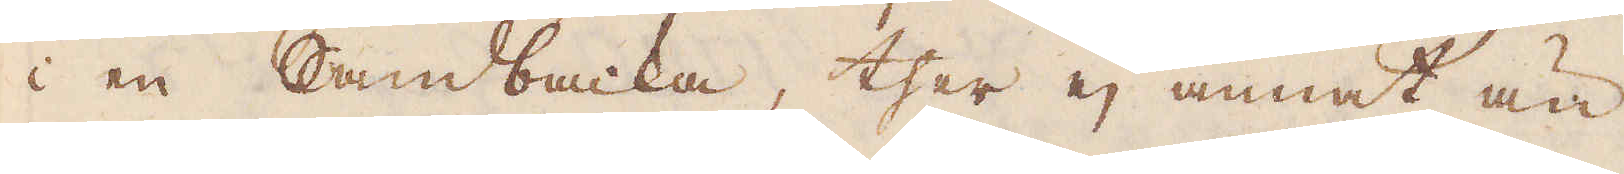i en Sandbacka, ther ej annat än
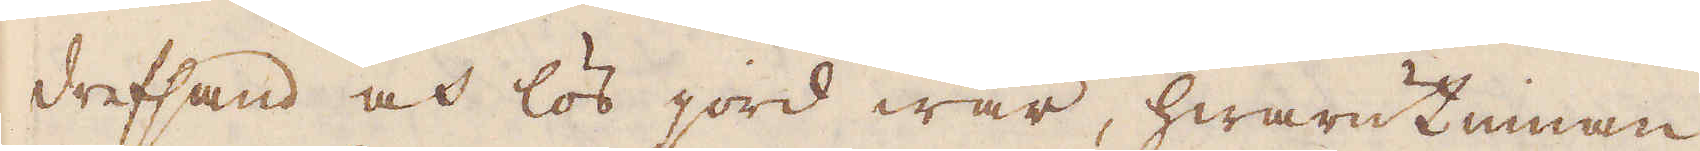drefsand och lös jord war, hwarutinnan
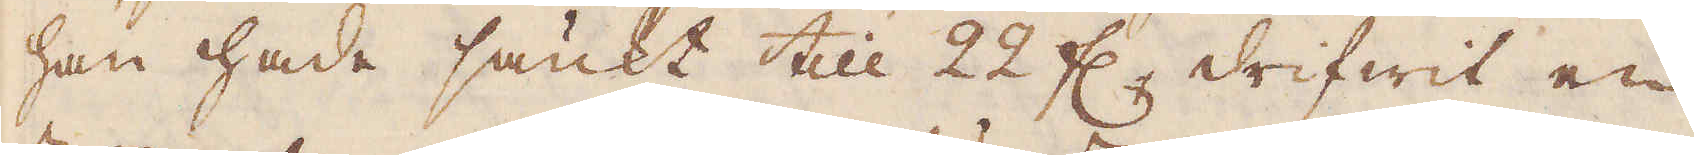han hade sänkt till 22 f:r, drifwit en
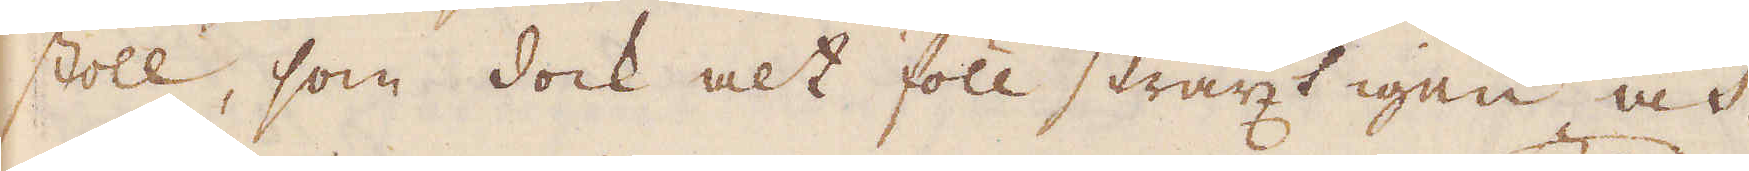stoll, som dock alt föll straxt igen och
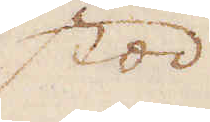stod
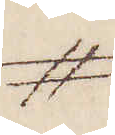#
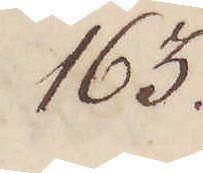163.
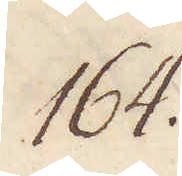164.
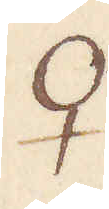♀
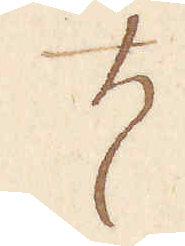♄
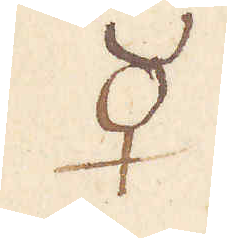☿
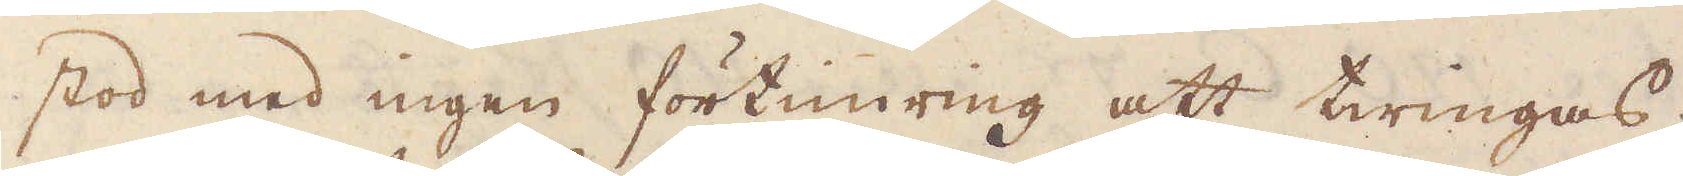stod med ingen förtimring att twingas;
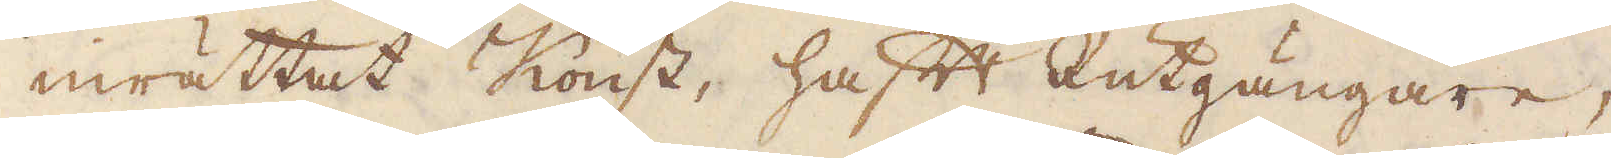inrättat Konst, haft Rutgängare,
